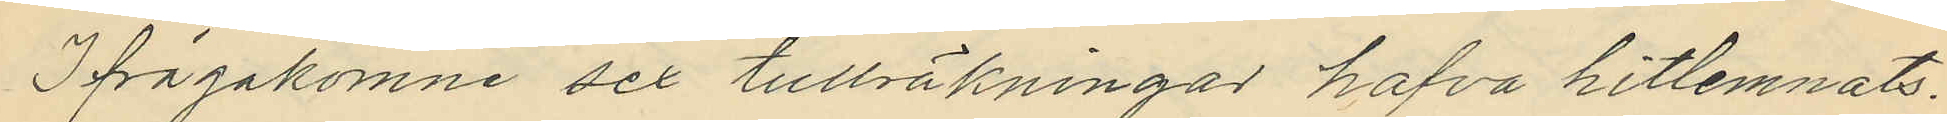Ifrågakomne sex tullräkningar hafva hitlemnats.
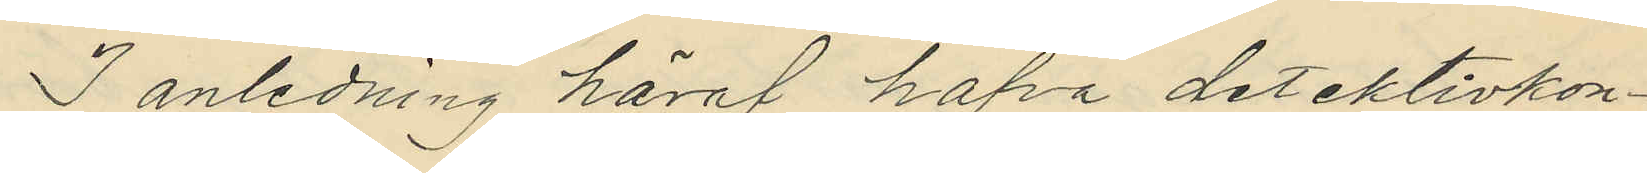I anledning häraf hafva detektivkon¬
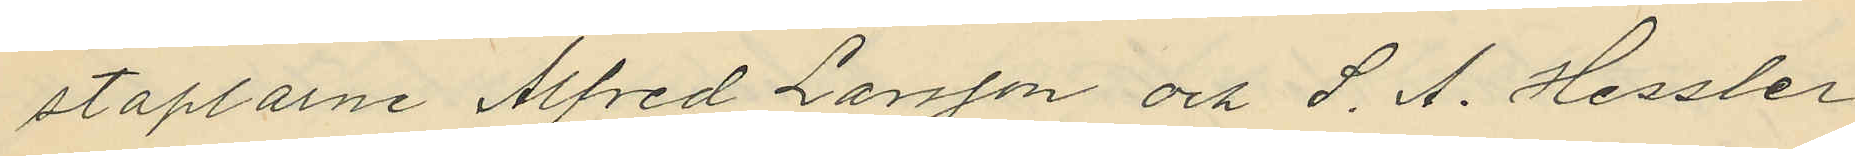staplarne Alfred Larsson och S. A. Hessler
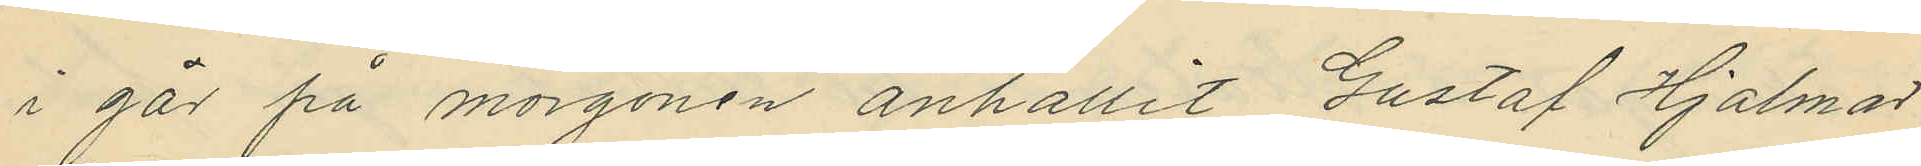i går på morgonen anhållit Gustaf Hjalmar
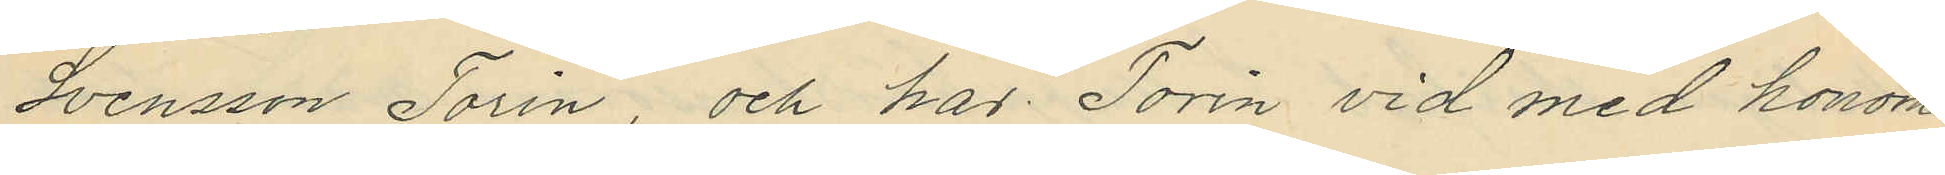Svensson Torin, och hos Torin vid med honom
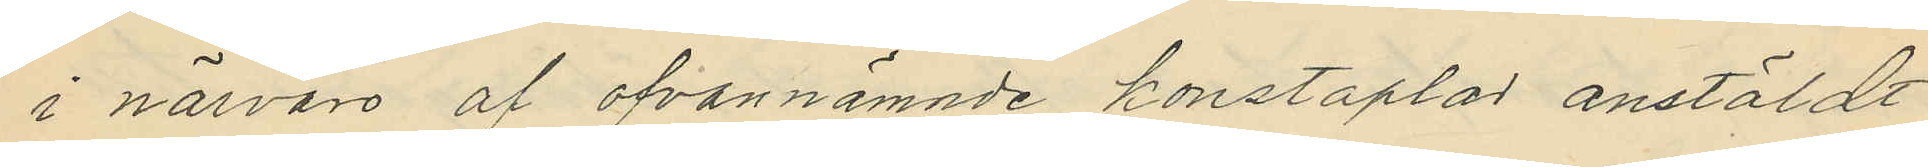i närvaro af ofvannämnde konstaplar anstäldt
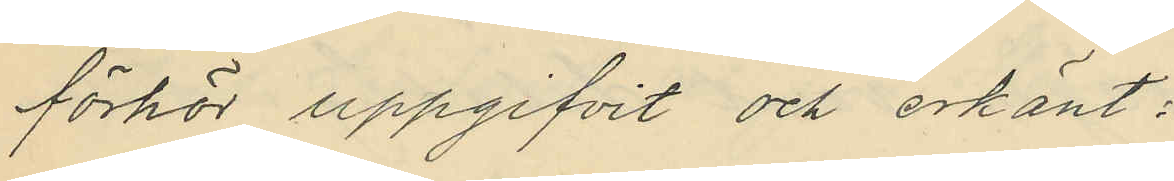förhör uppgifvit och erkänt:
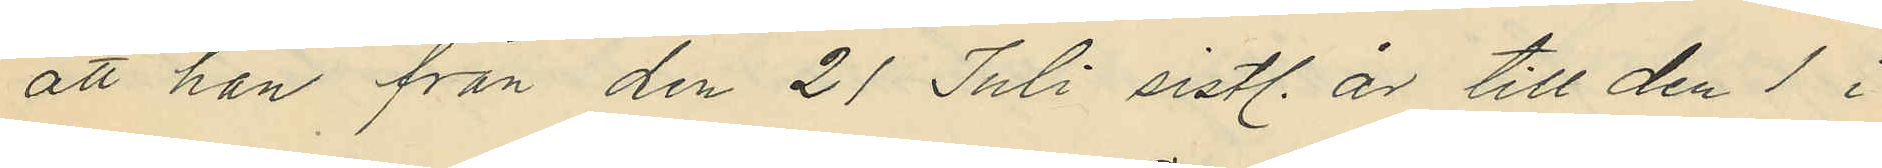att han från den 21 Juli sistl. år till den 1 i
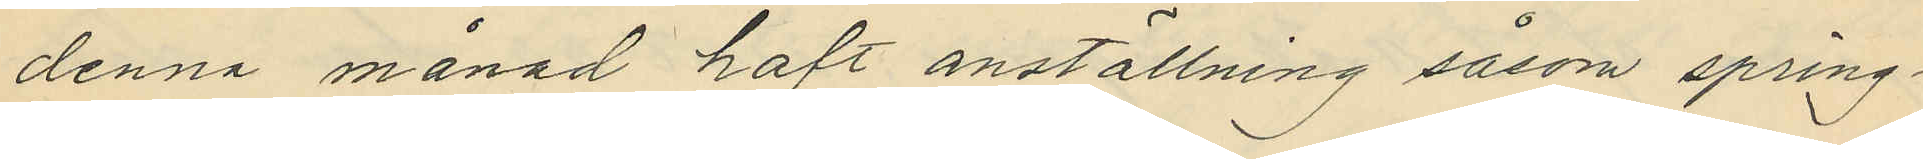denna månad haft anställning såsom spring¬
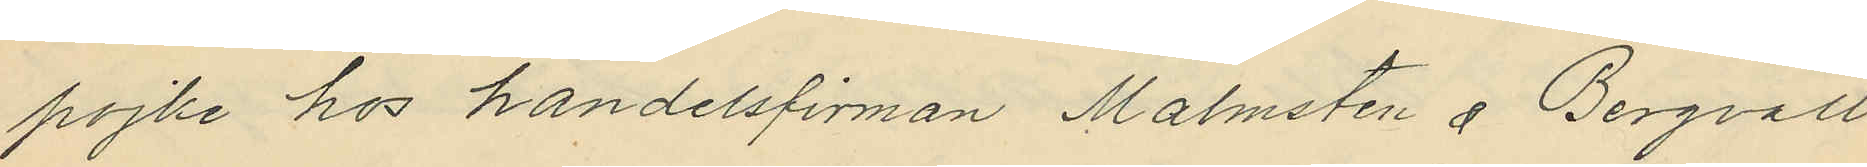pojke hos handelsfirman Malmsten å Bergvall
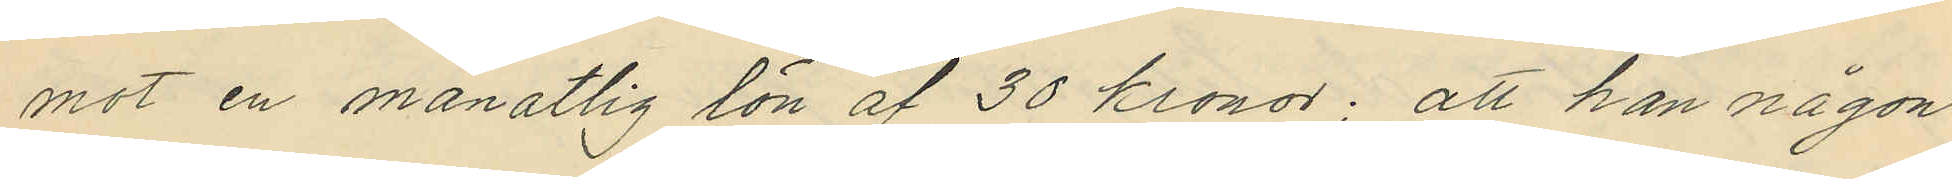mot en månatlig lön af 30 kronor; att han någon
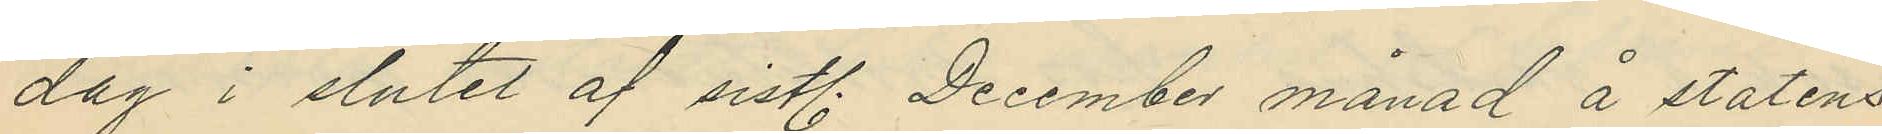dag i slutet af sistl. December månad å statens
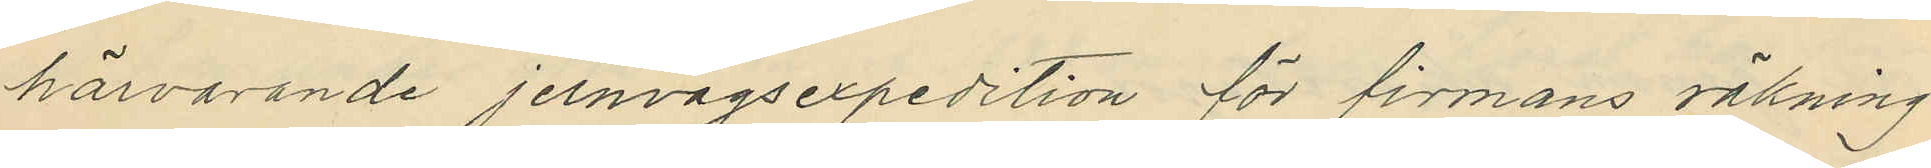härvarande jernvägsexpedition för firmans räkning
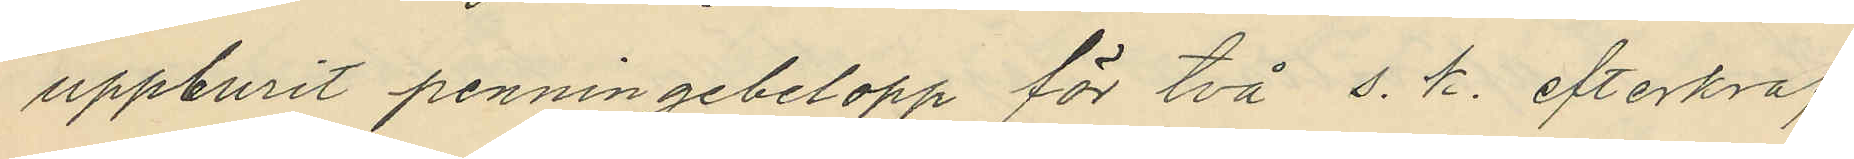uppburit penningebelopp för två s. k. efterkraf
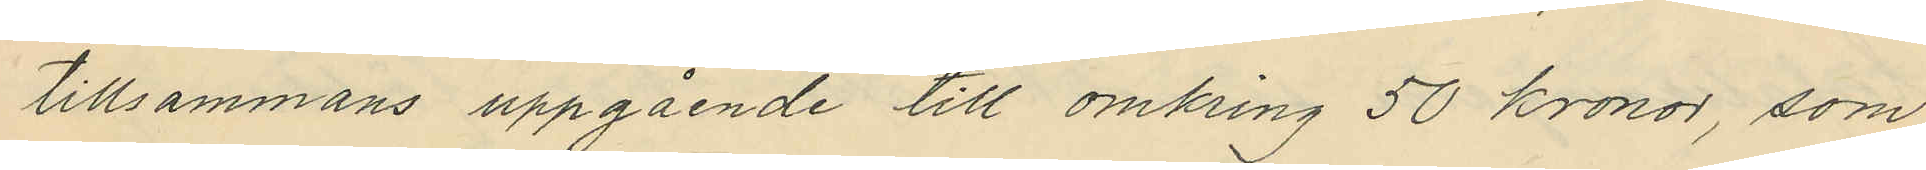tillsammans uppgående till omkring 50 kronor, som
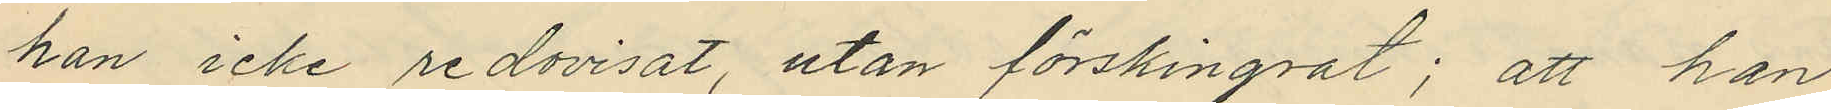han icke redovisat, utan förskingrat; att han
